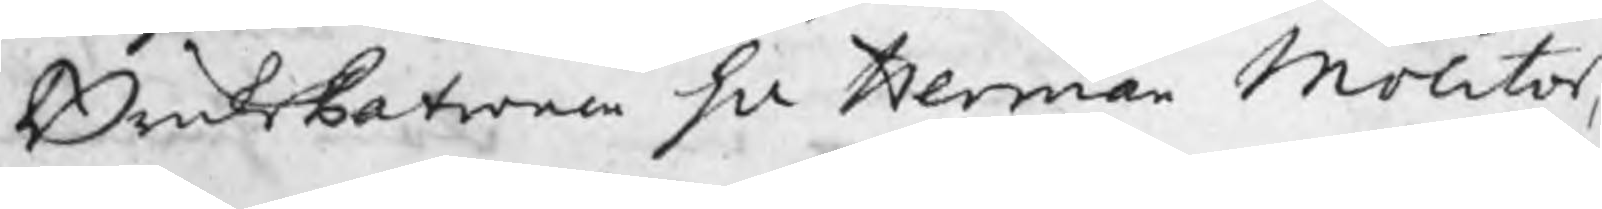BruksPatronen Hr Herman Molitor,
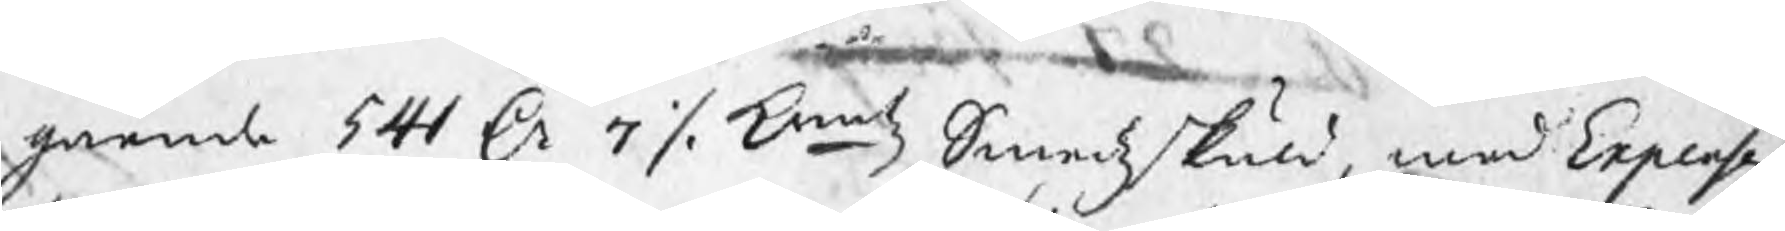gående 541 Dr 7 ./. kmtz Smedzskuld, med Expenser,
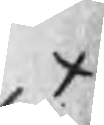x
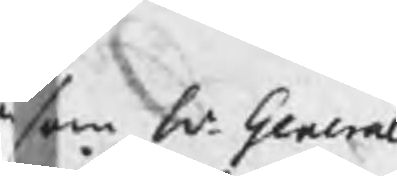som Hr General
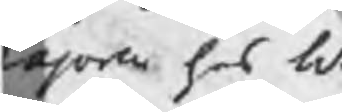ajoren hos hr
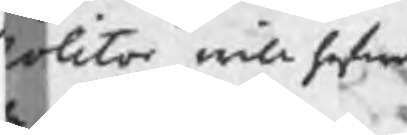olitor will hafwa
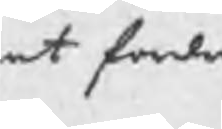at fordra
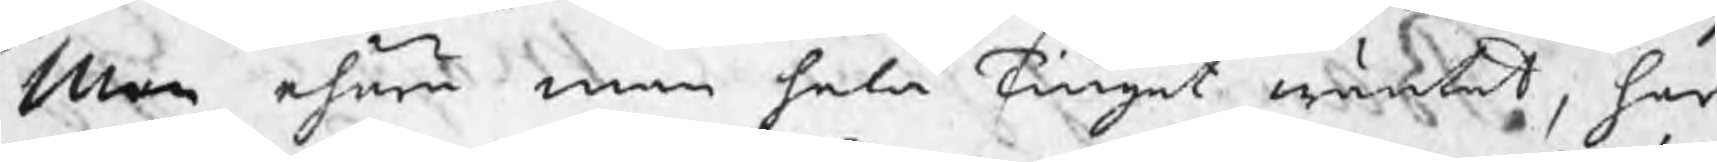Men ehuru man hela Tinget wäntat, har
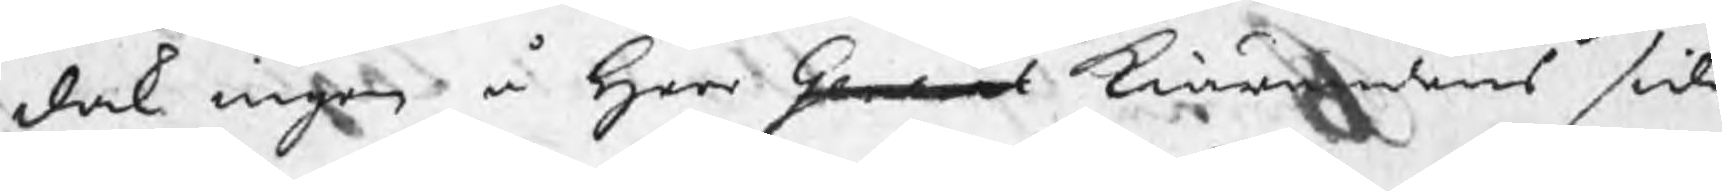dock ingen å Herr General Kiärandens sida
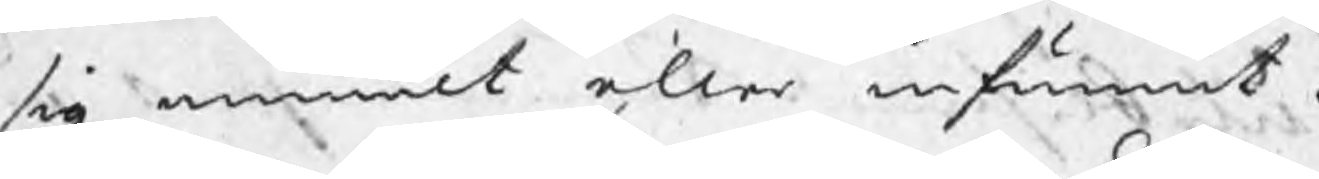sig anmält eller infunnit.
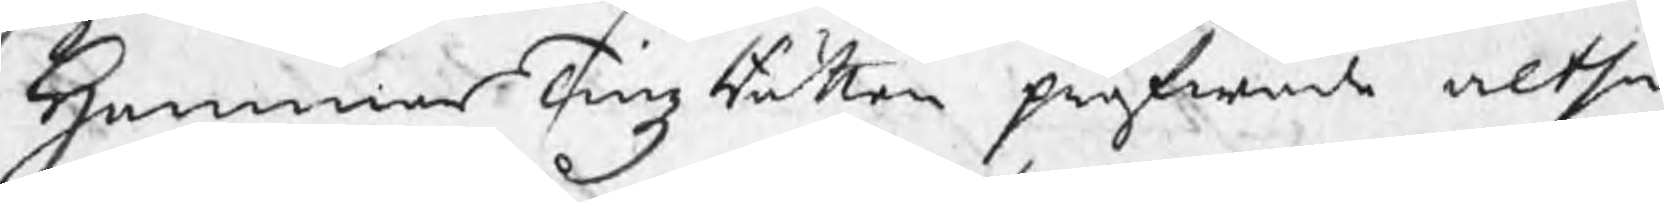HammarTingzRätten pröfwade altså
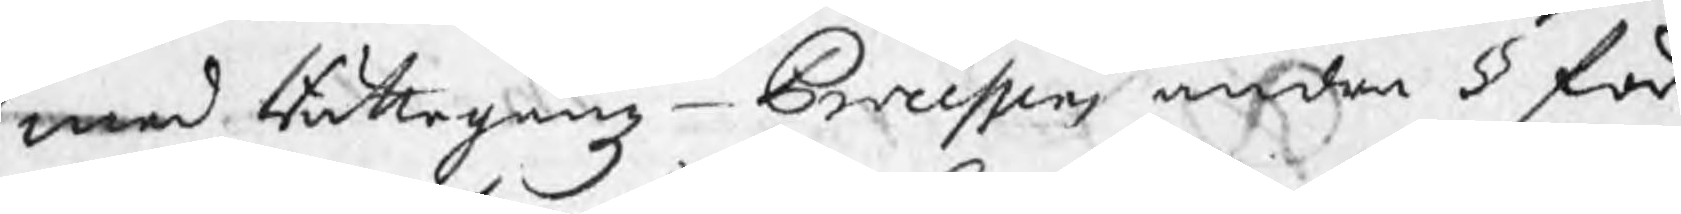med Rättegångz - Processens andra § för
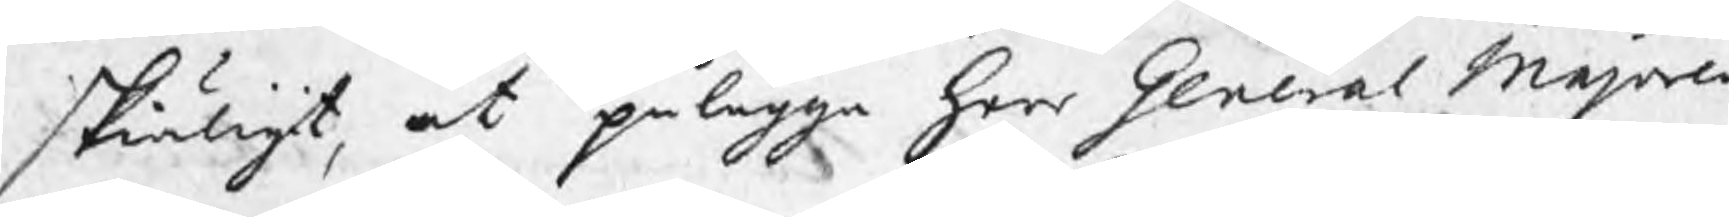skiäligit, at pålägga Herr General Majoren
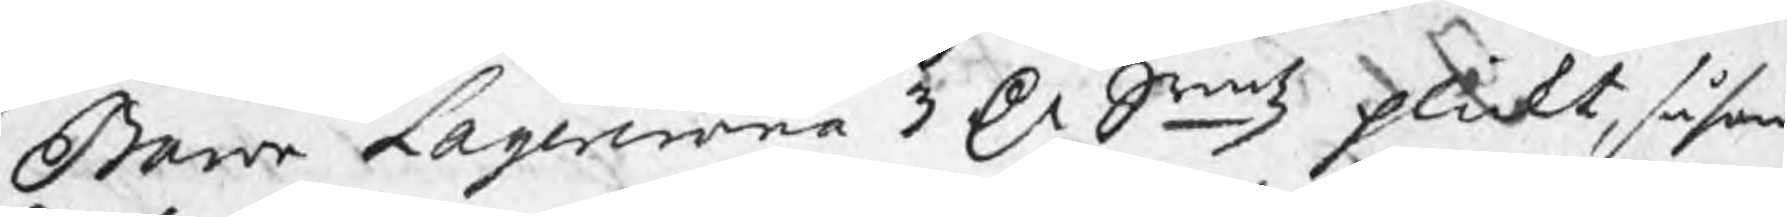Baron Lagercrona 3 Dr Smtz plickt, såsom
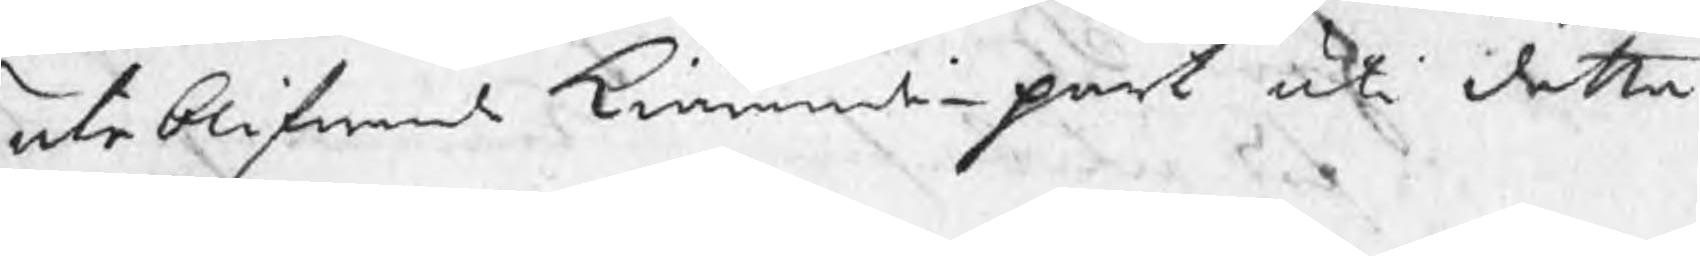uteblifwande kiärandepart uti detta
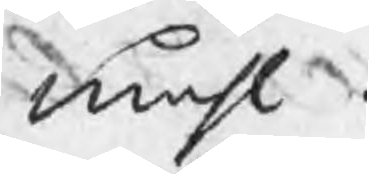måhl.
